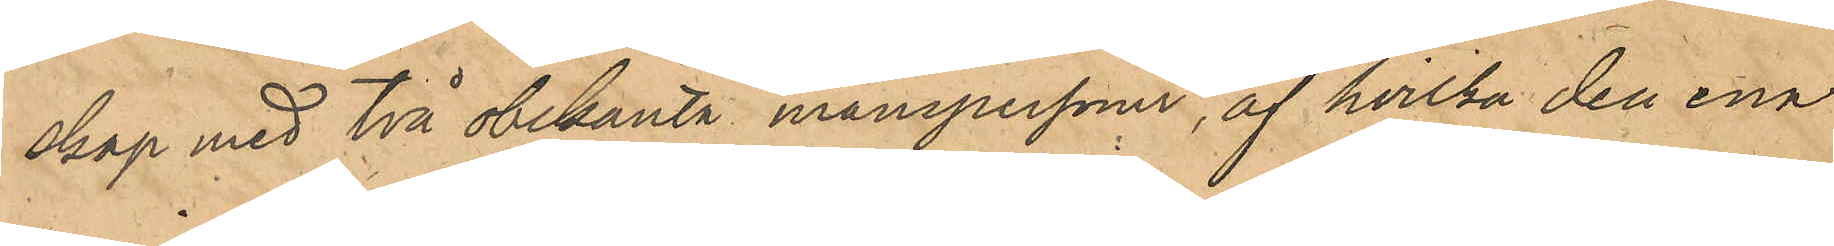skap med två obekanta manspersoner, af hvilka den ena
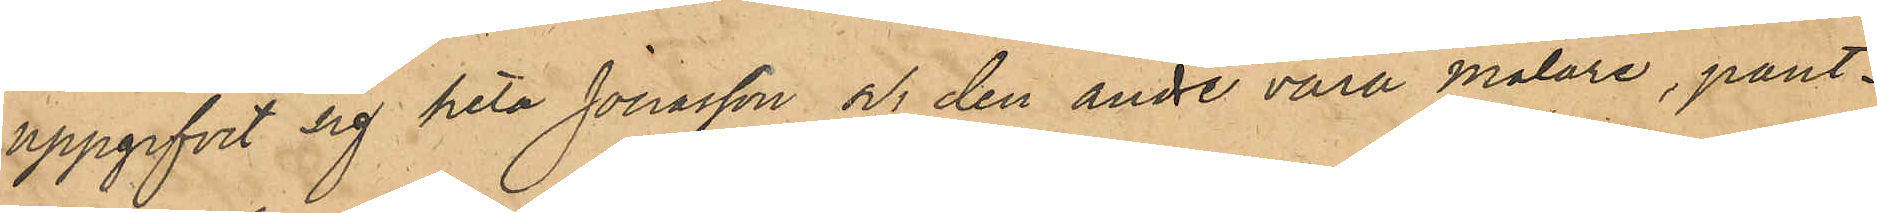uppgifvit sig heta Jonasson och den andre vara målare, pant¬
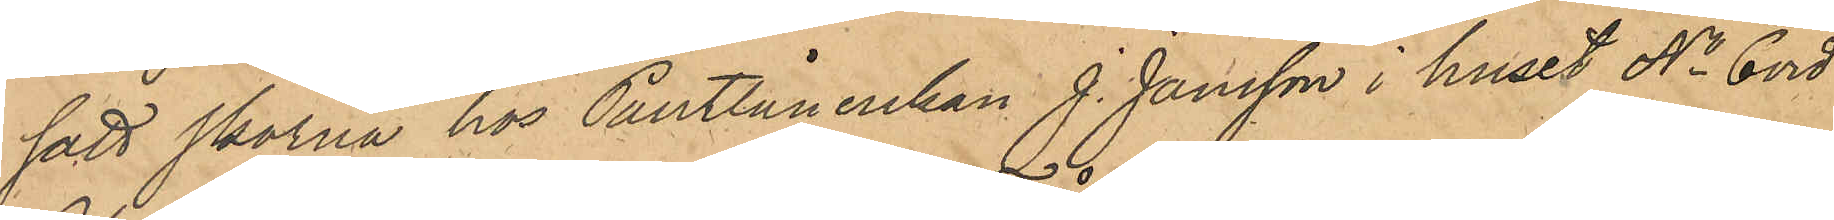satt skorna hos Pantlånerskan J. Jansson i huset No 6 vid
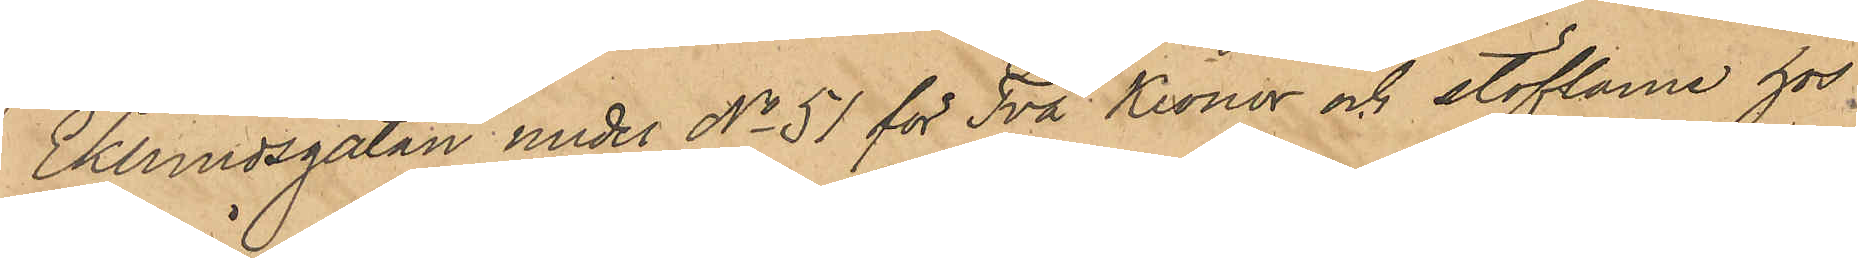Eklundsgatan under No 51 för Två Kronor och stöflarne hos
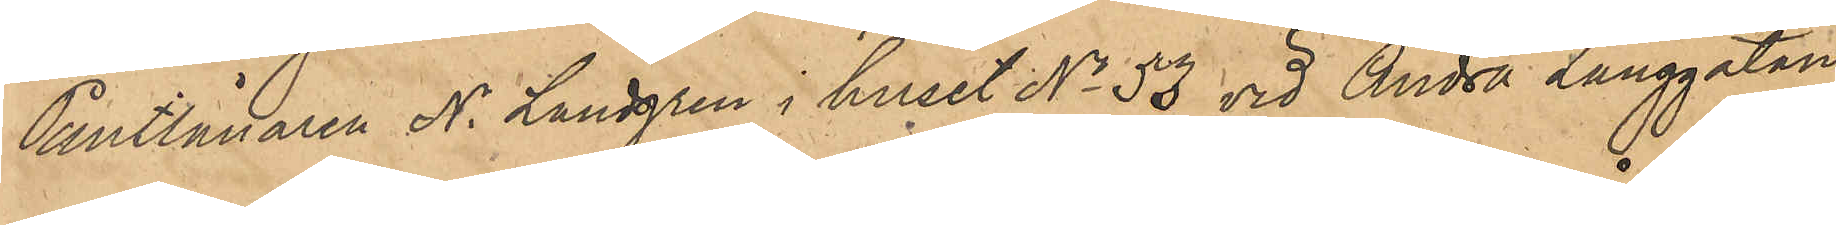Pantlånaren N. Landgren i huset No 53 vid Andra Långgatan
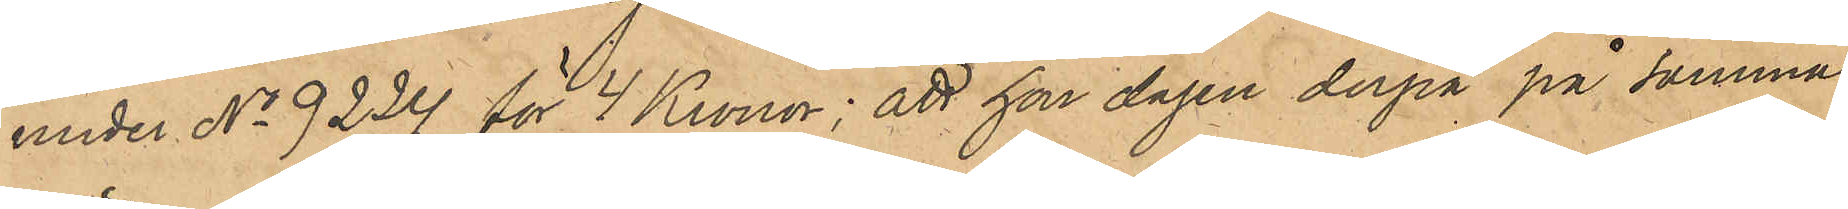under No 9224 för 4 Kronor; att han dagen derpå på samma
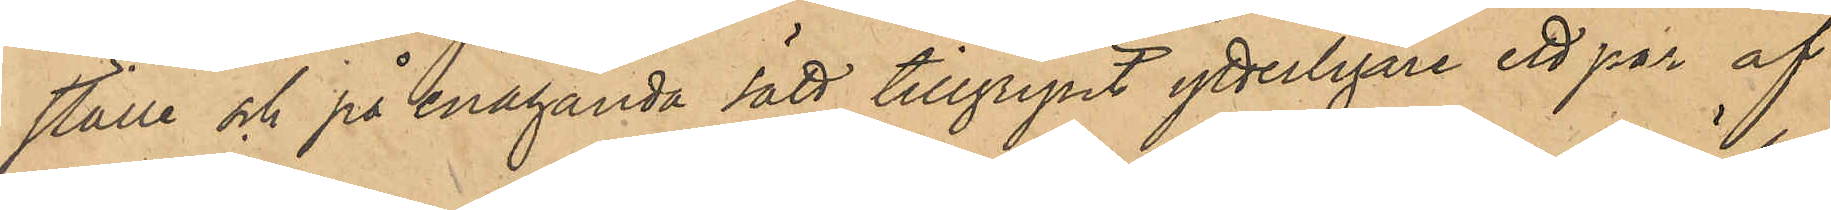ställe och på enahanda sätt tillgripit ytterligare ett par af
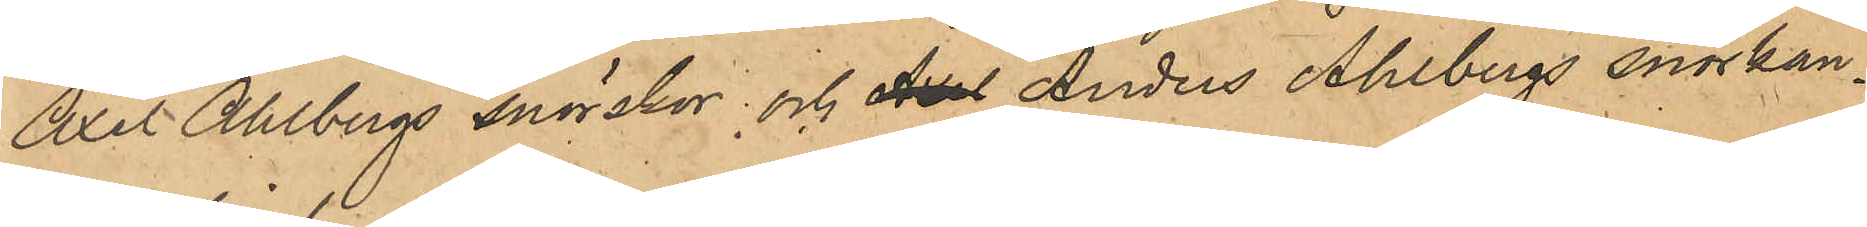Axel Ahlbergs snörskor och Axel Anders Ahlbergs snörkän¬
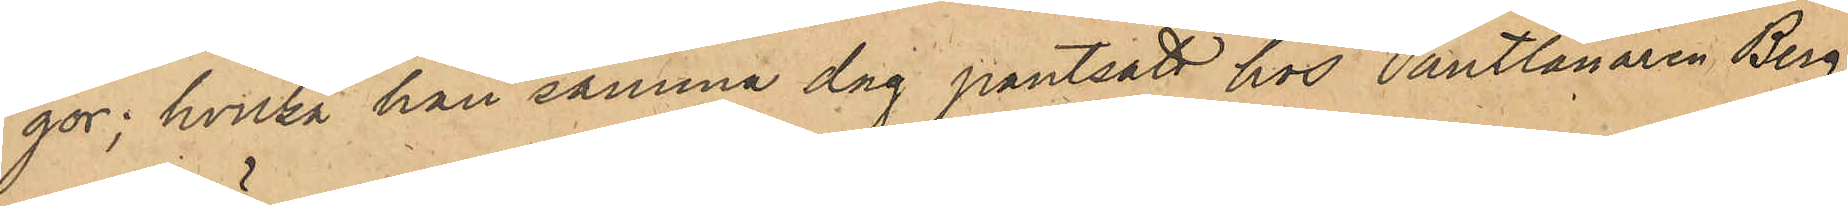gor; hvilka han samma dag pantsatt hos Pantlånaren Berg,
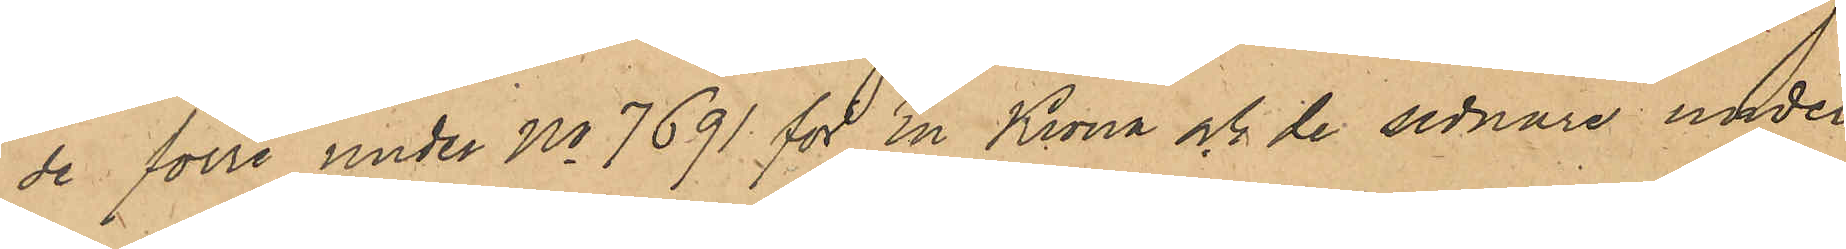de förre under No 7691 för En Krona och de sednare under
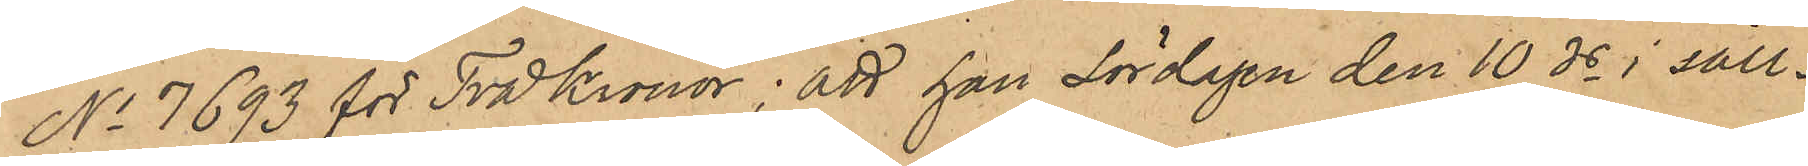No 7693 för Två Kronor; att han Lördagen den 10 ds i säll¬
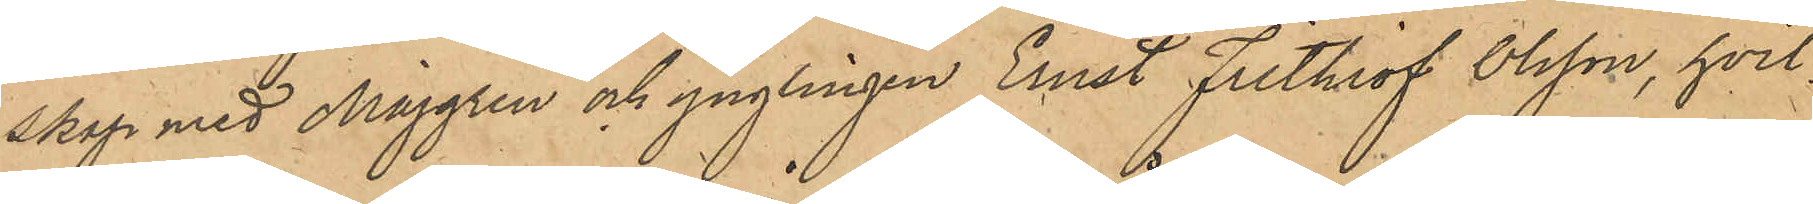skap med Majgren och ynglingen Ernst Frithiof Olsson, hvil¬
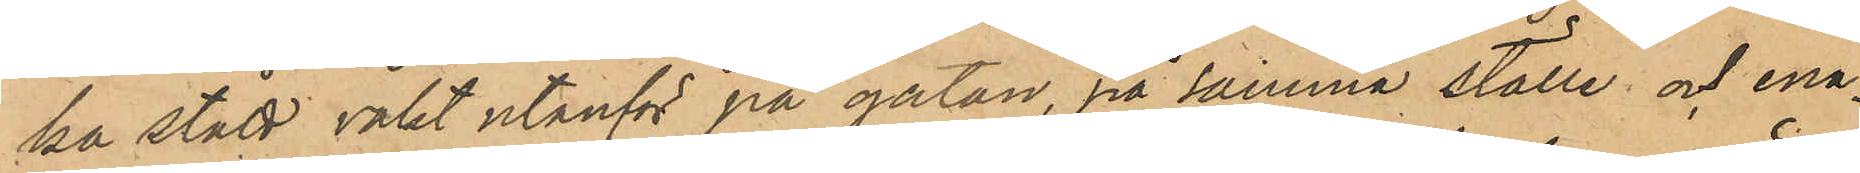ka stått vakt utanför på gatan, på samma ställe och ena-
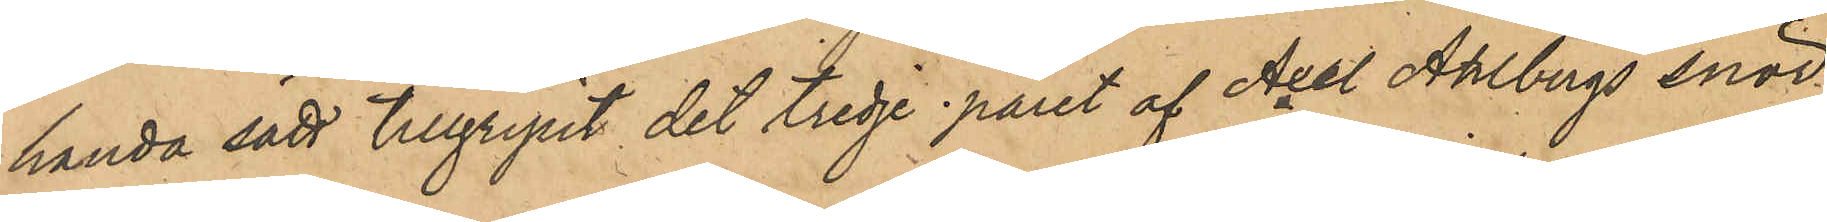handa sätt tillgripit det tredje paret af Axel Ahlbergs snör¬
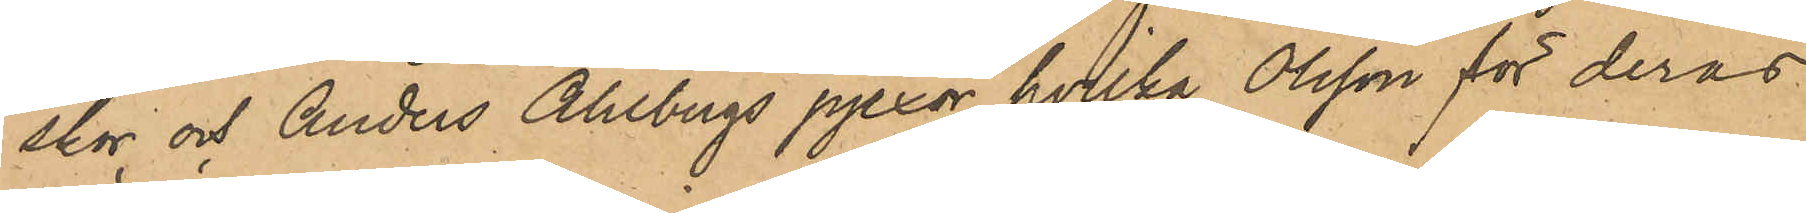skor och Anders Ahlbergs pjexor, hvilka Olsson för deras
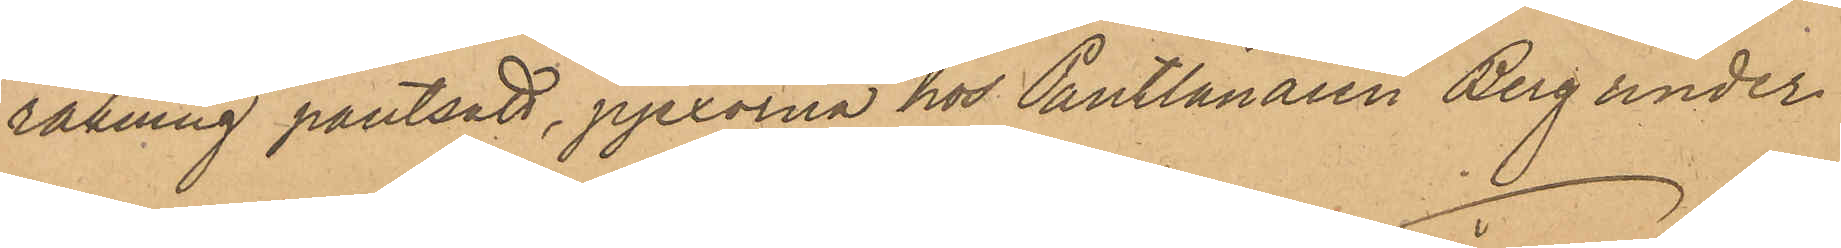räkning pantsatt, pjexorna hos Pantlånaren Berg under
